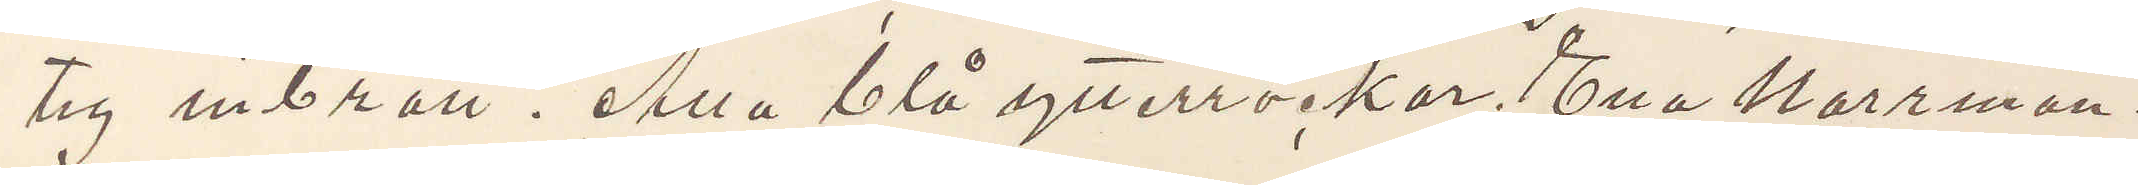tig inbrott. Alla blå ytterrockar. Ena norrman¬
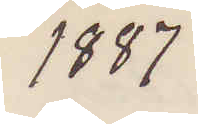1887
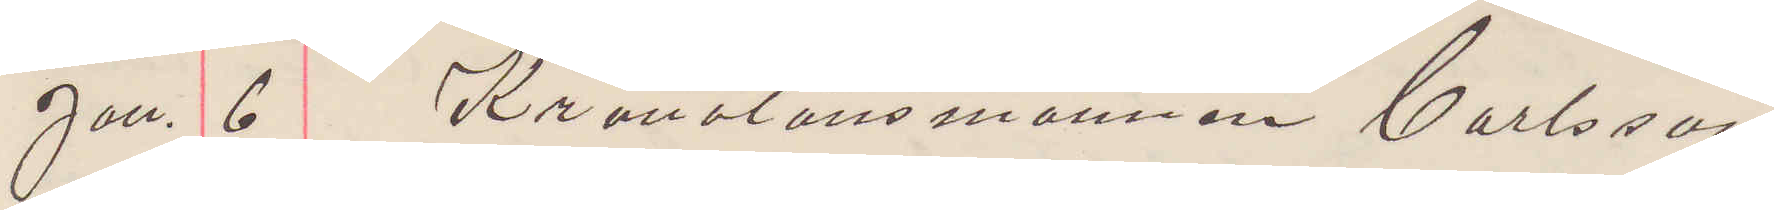Jan. 6 Kronolänsmannen Carlsson
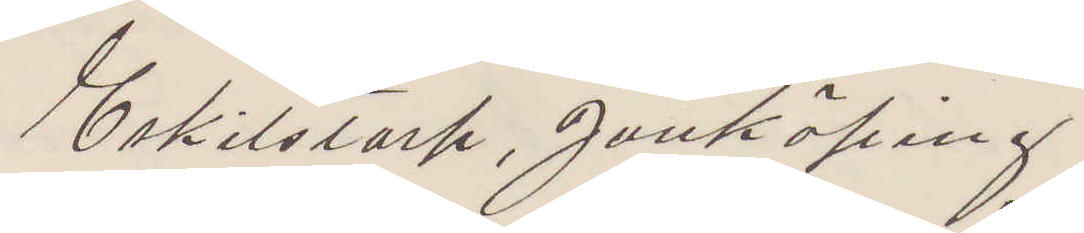Eskilstorp, Jönköping.
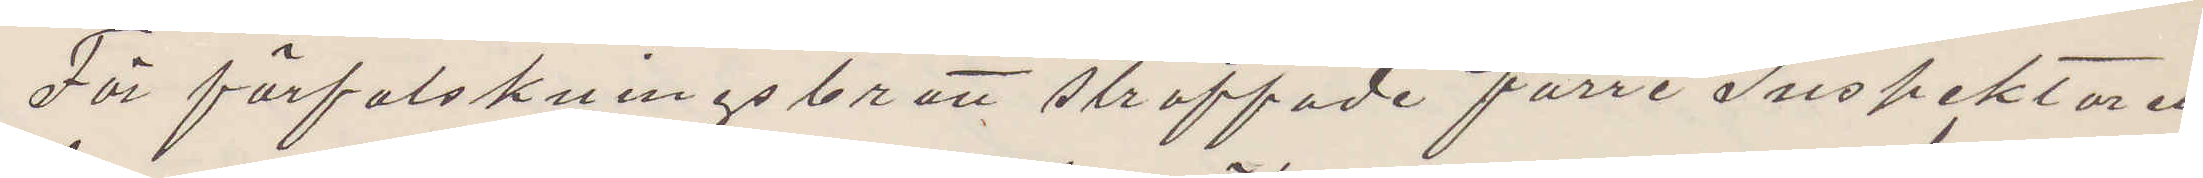För förfalskningsbrott straffade förre Inspektören
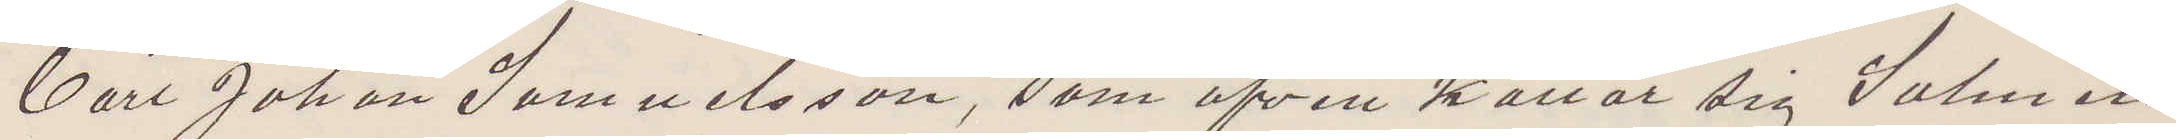Carl Johan Samuelsson, som äfven kallar sig Salmén
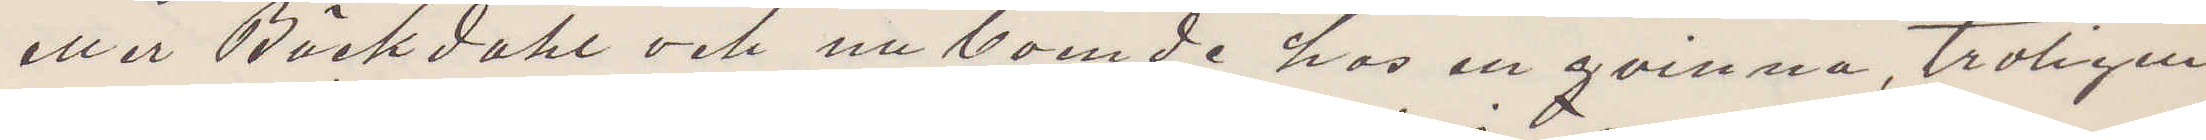eller Bäckdahl och nu boende hos en qvinna, troligen
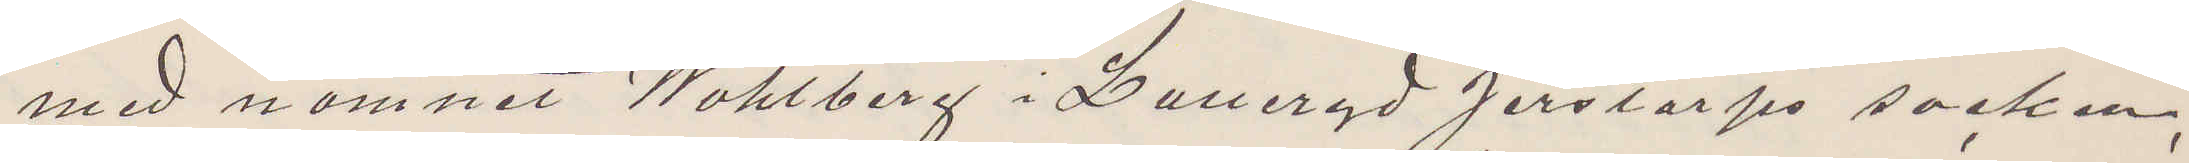med namnet Wahlberg i Laneryd Jerstorps socken,
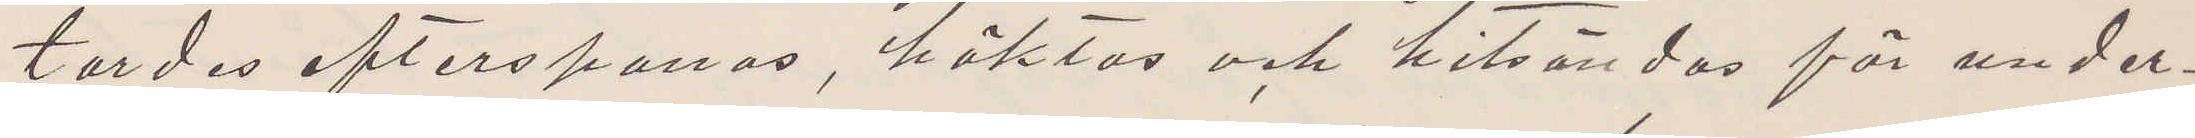tordes efterspanas, häktas och hitsändas för under¬
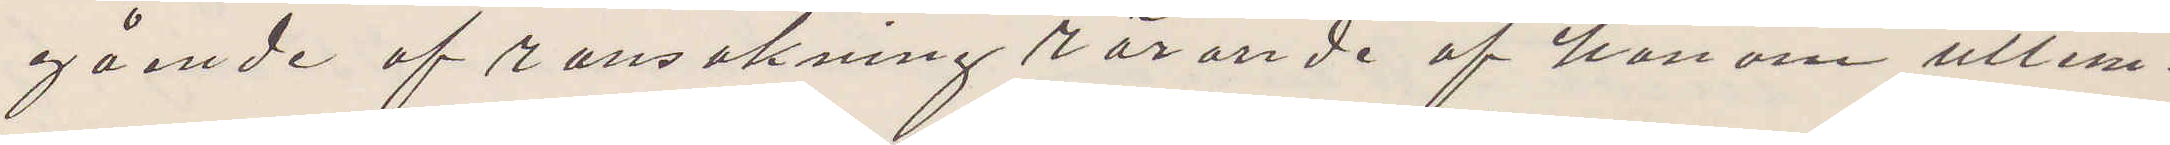gående af ransakning rörande af honom utlem¬
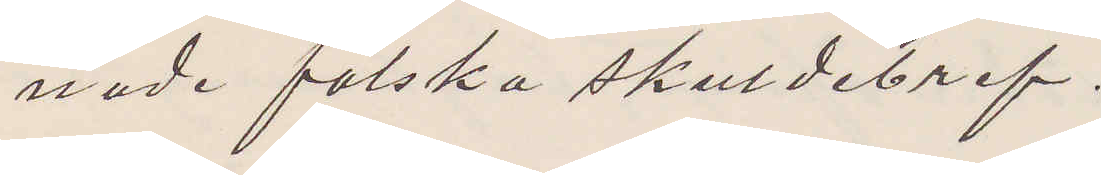nade falska skuldebref.
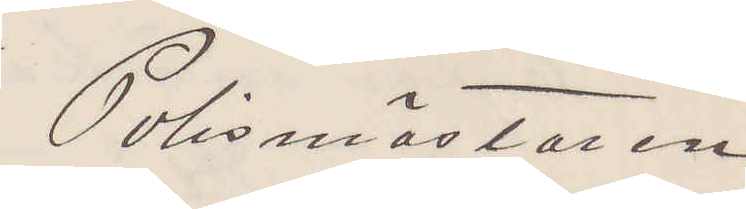Polismästaren.
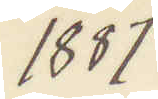1887
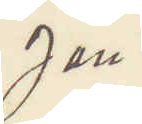Jan.
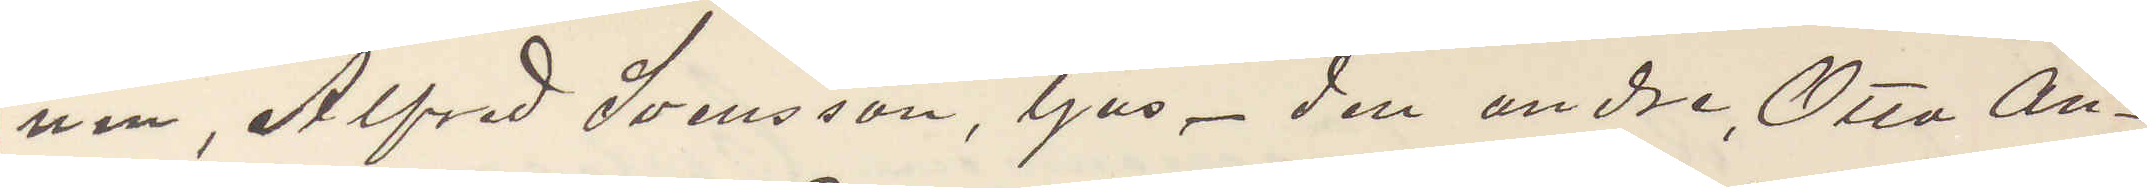nen, Alfred Svensson, ljus den andre, Otto An¬
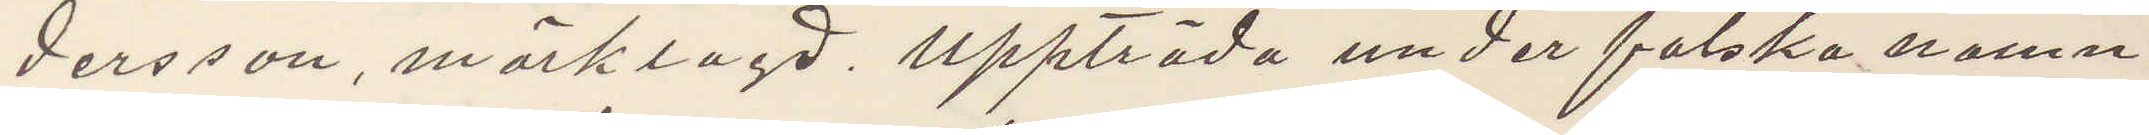dersson, mörklagd uppträda under falska namn
